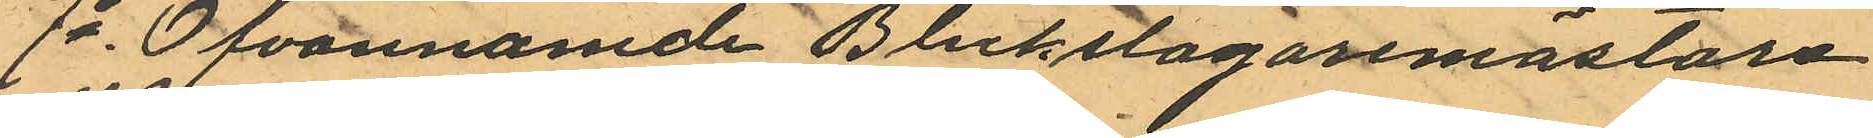7o Ofvannamde Bleckslagaremästaren
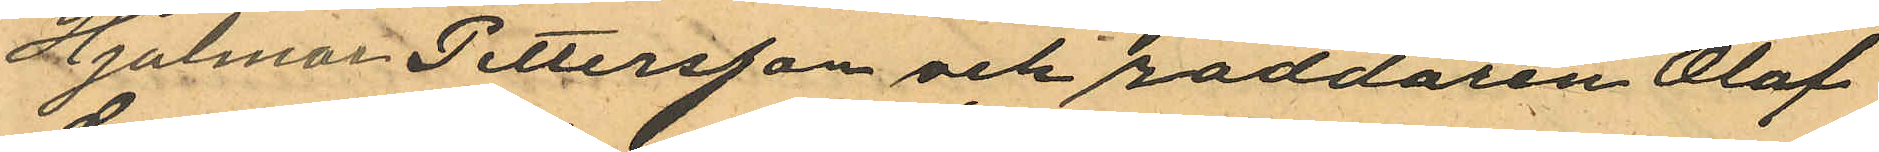Hjalmar Pettersson och roddaren Olof
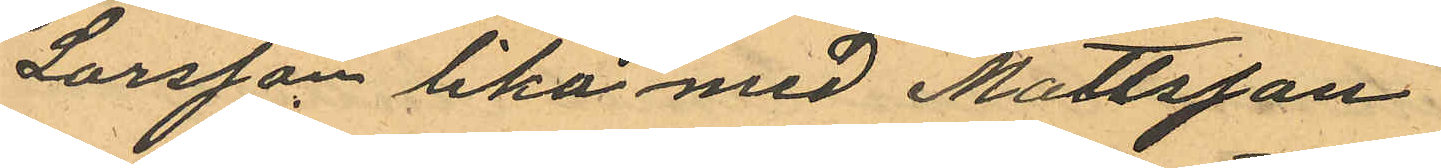Larsson lika med Mattsson.
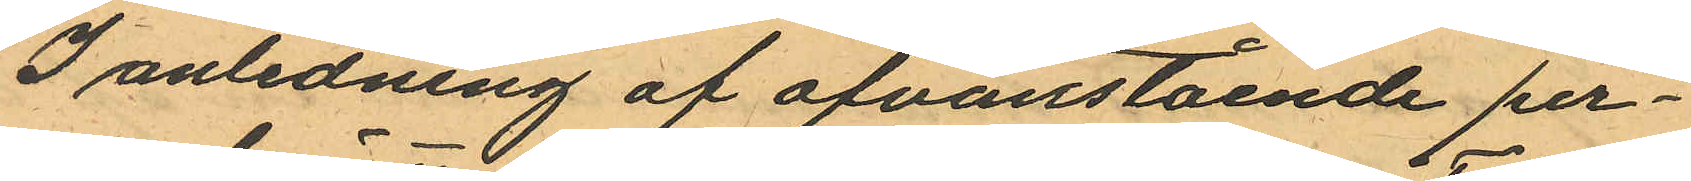I anledning af ofvanstående per¬
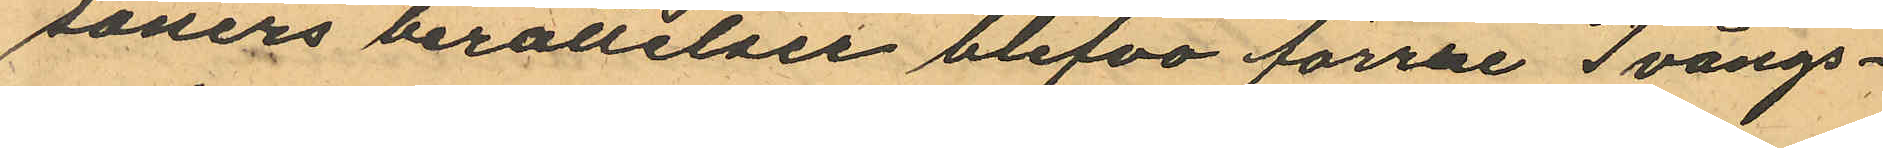soners berättelser blefvo förrre Tvångs¬
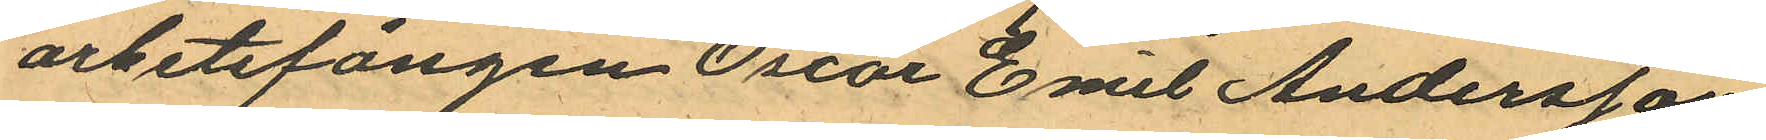arbetsfången Oscar Emil Andersson
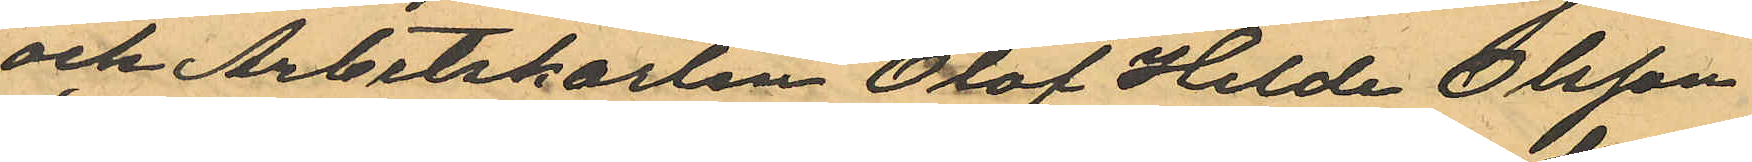och Arbetskarlen Olof Hilde Olsson
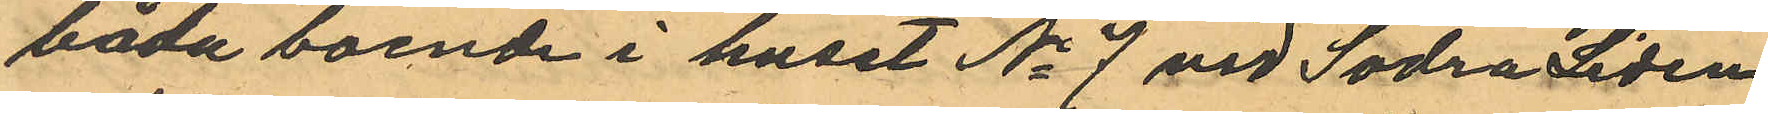båda boende i huset No 7 vid Södra Liden
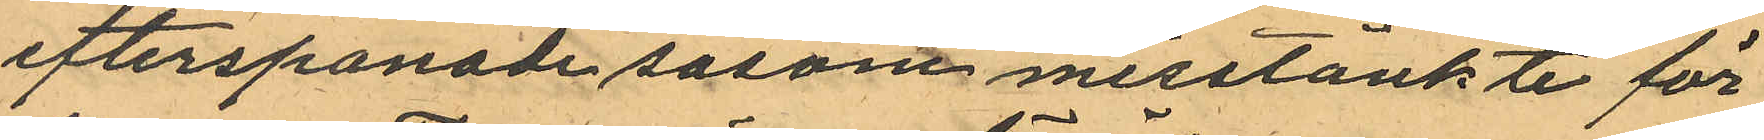efterspanade såsom misstänkte för
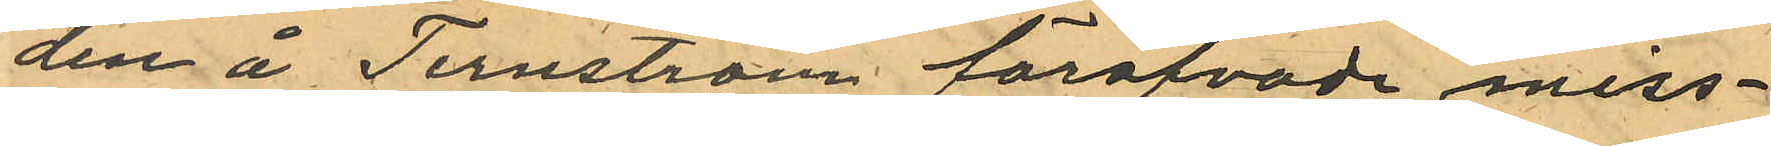den å Ternström föröfvade miss¬
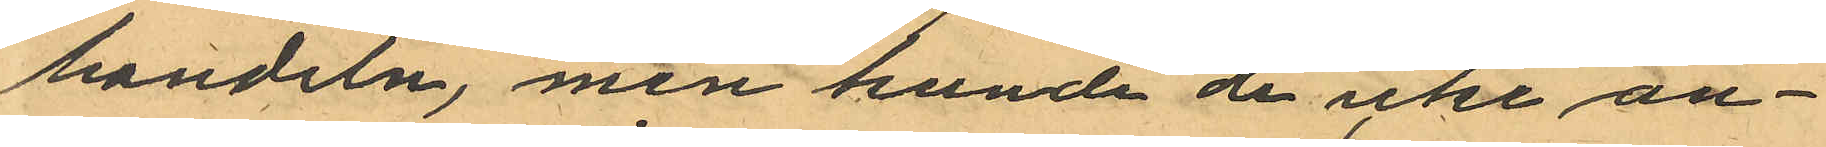handeln, men kunde de icke an¬
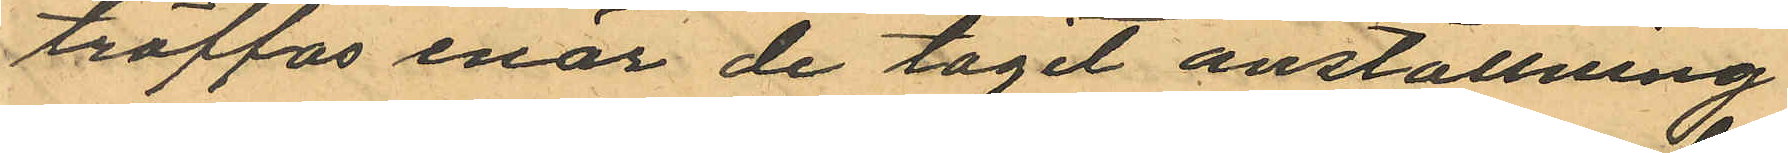träffas enär de tagit anställning
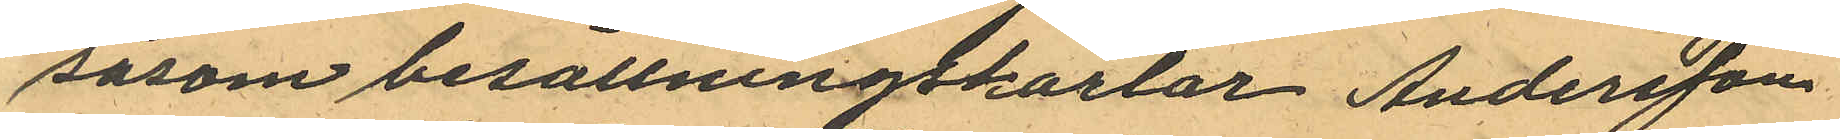såsom besättningskarlar Andersson
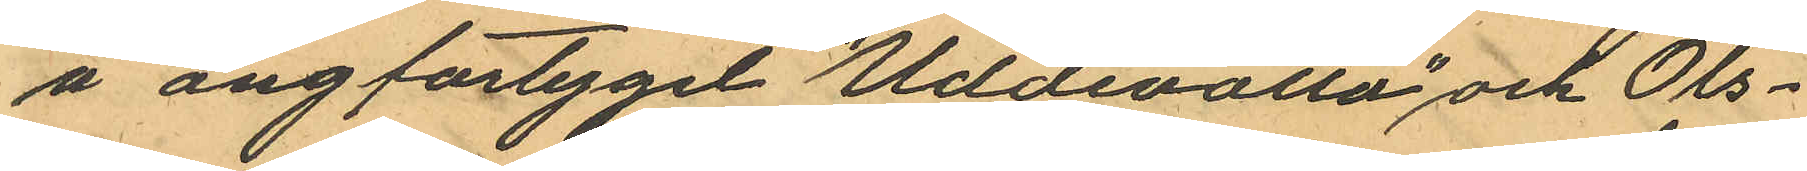å ångfartyget "Uddevalla" och Ols¬
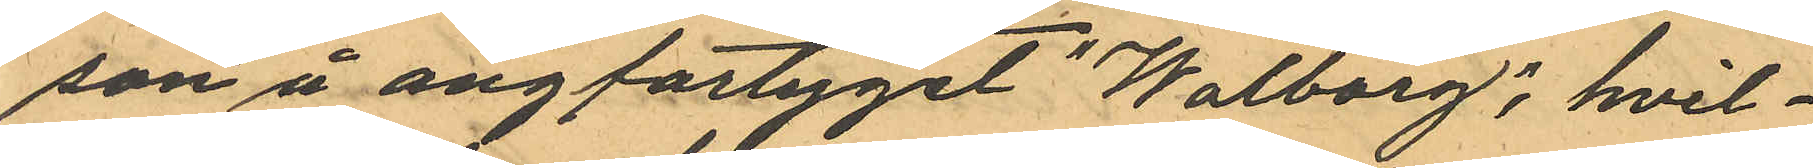son å ångfartyget "Walborg", hvil¬
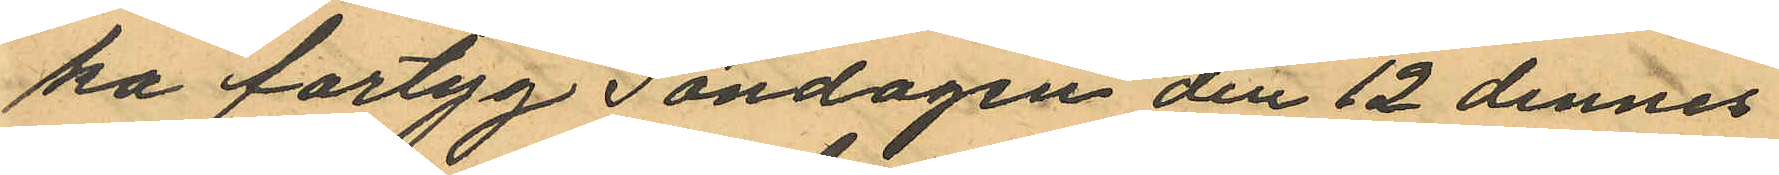ka fartyg Söndagen den 12 dennes
